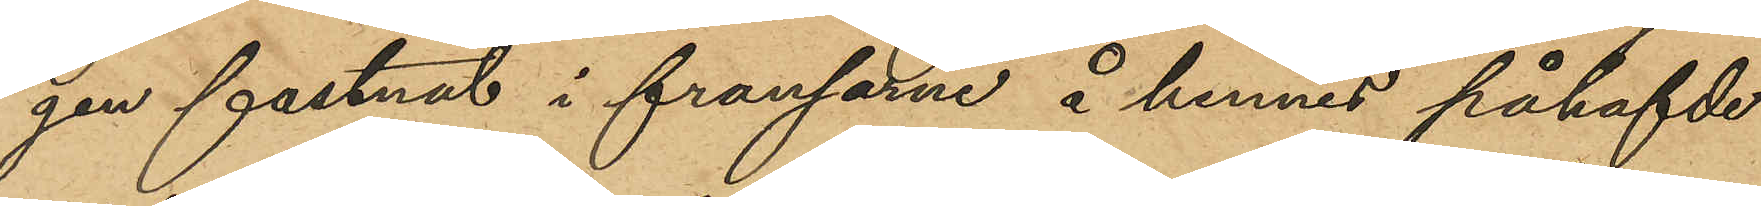gen fastnat i fransarne å hennes påhafvde
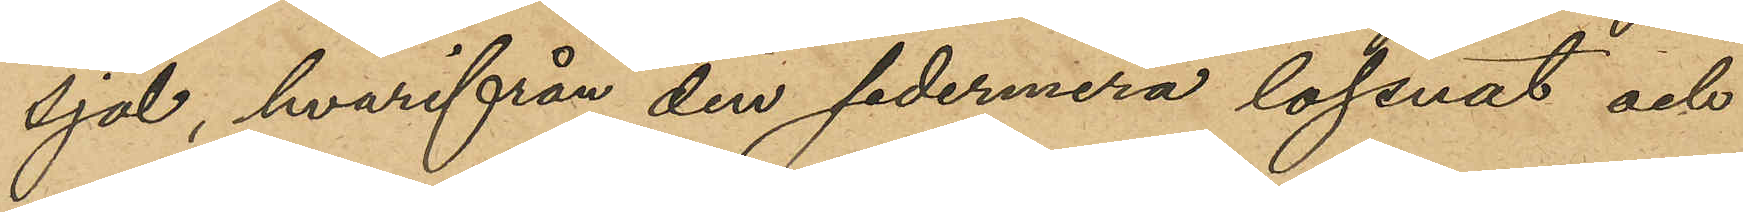sjal, hvarifrån den sedermera lossnat och
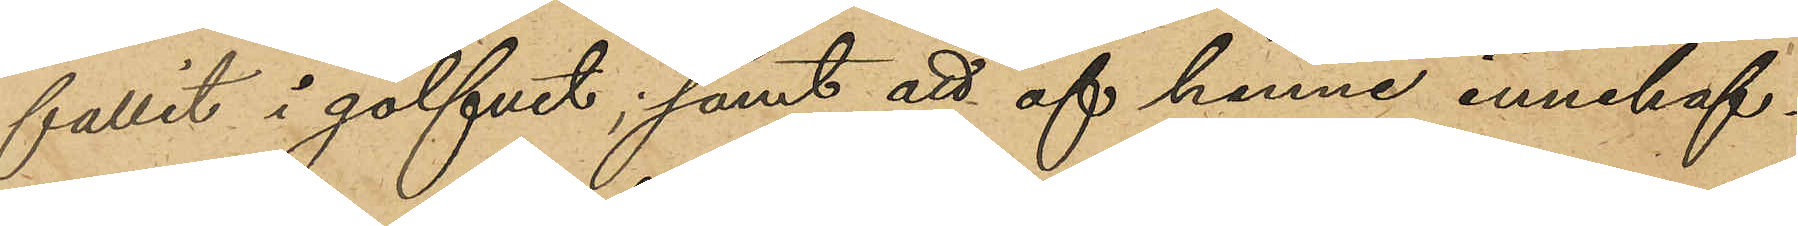fallit i golfvet; samt att af henne innehafv¬
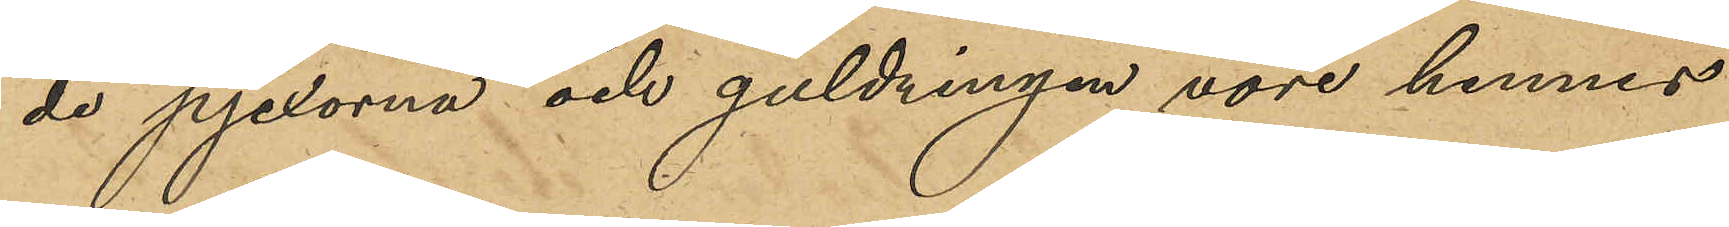da pjexorna och guldringen vore hennes
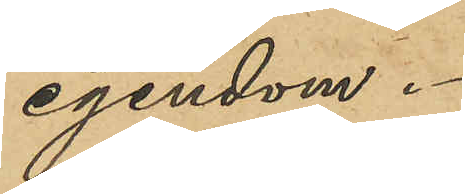egendom.
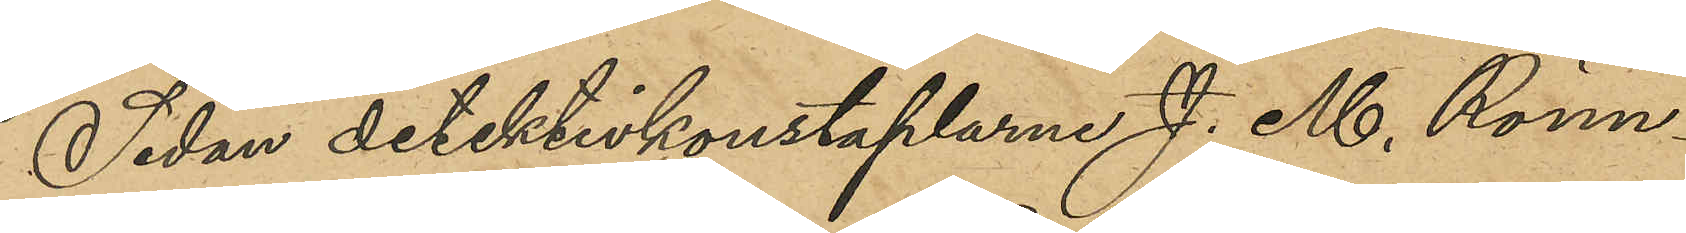Sedan detektivkonstaplarne J. M. Rönn¬
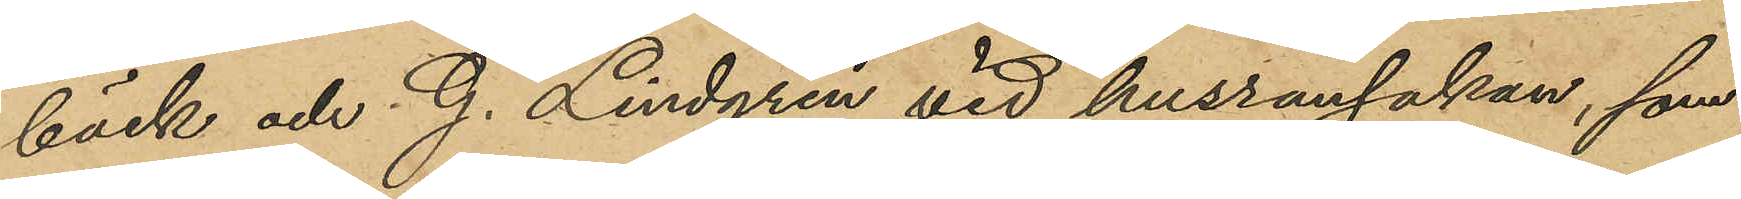bäck och G. Lindgren vid husrannsakan, som
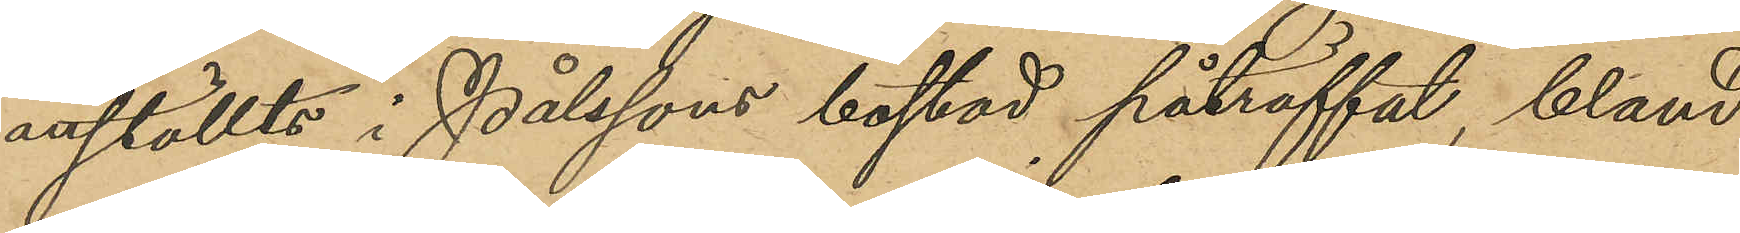anställts i Pålssons bostad påträffat, bland
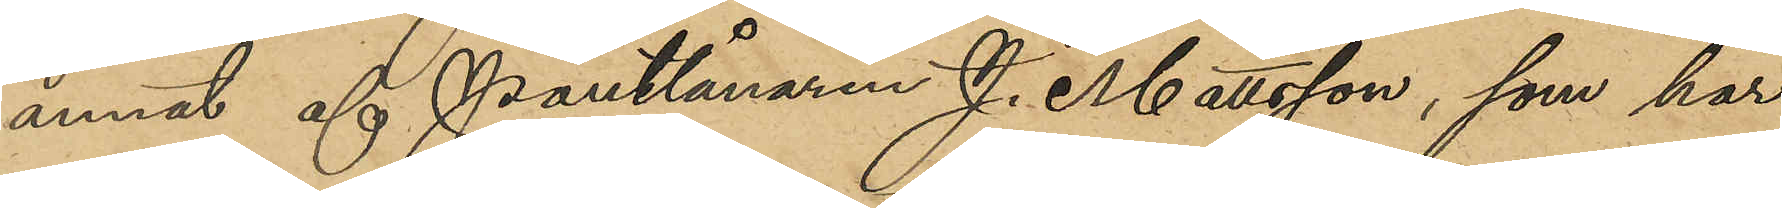annat af pantlånaren J. Mattsson, som har
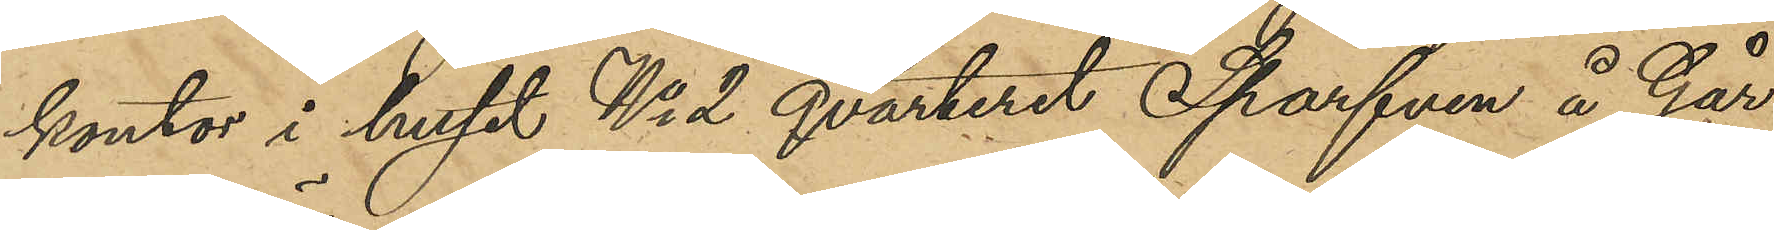kontor i huset No 2 qvarteret Sparfven å Går¬
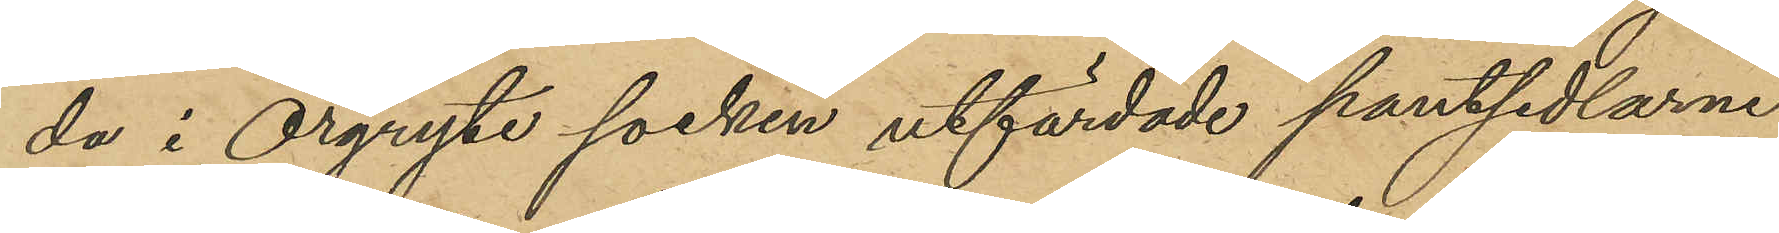da i Örgryte socken utfärdade pantsedlarne
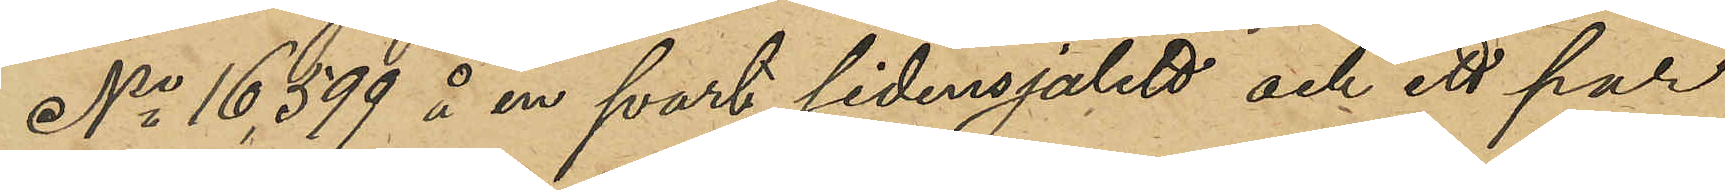No 16,599 å en svart sidensjalett och ett par
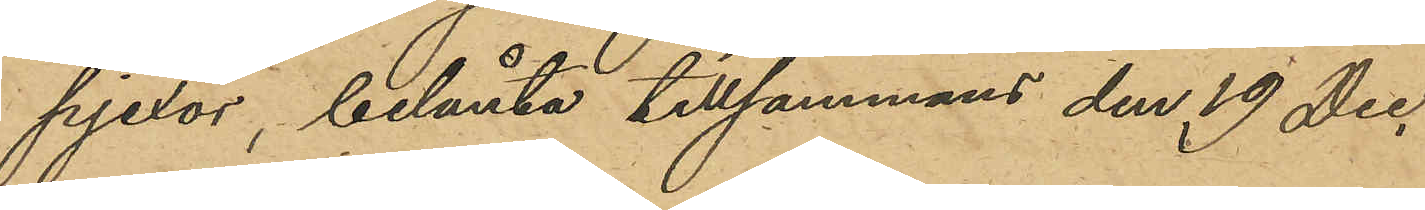pjexor, belånta tillsammans den 19 Dec.
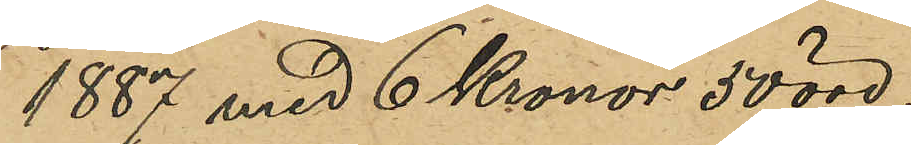1887 med 6 Kronor 50 öre;
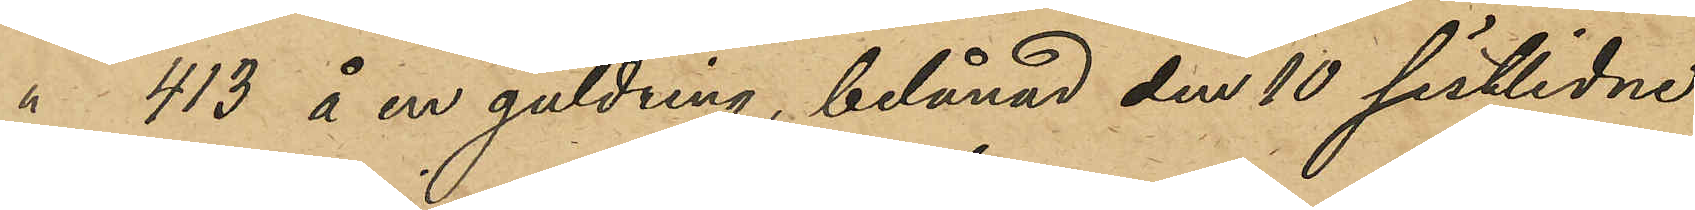" 413 å en guldring, belånad den 10 sistlidne
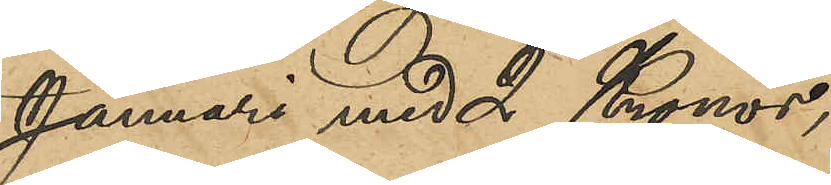Januari med 2 Kronor,
